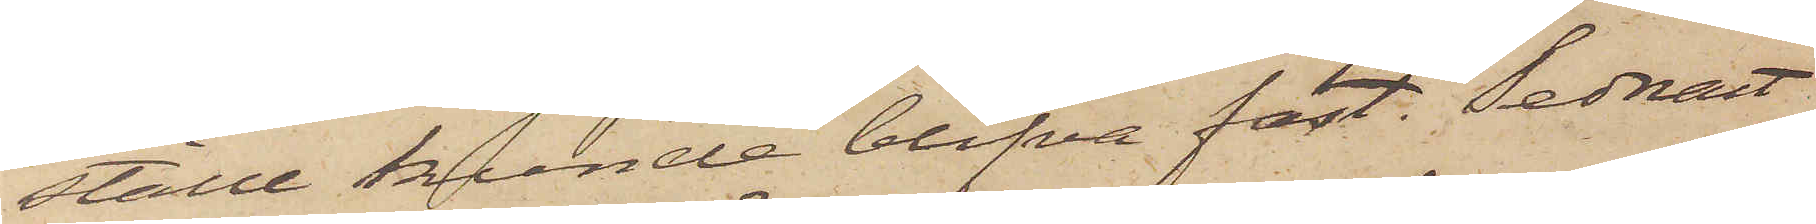ställe kunde blifva fast. Sednast
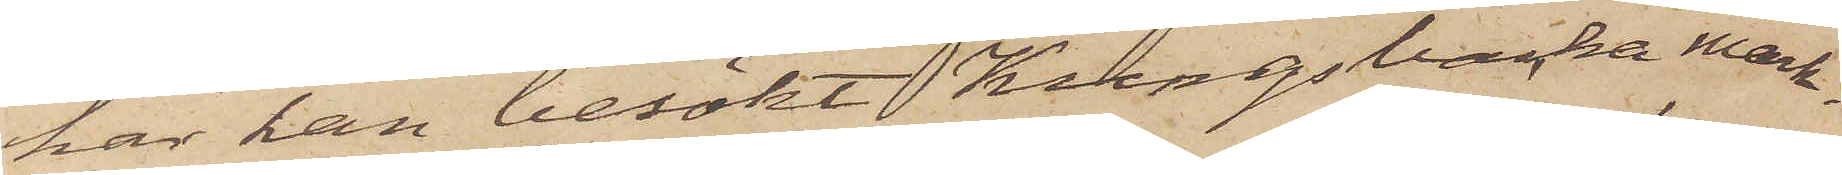har han besökt Kungsbacka mark¬
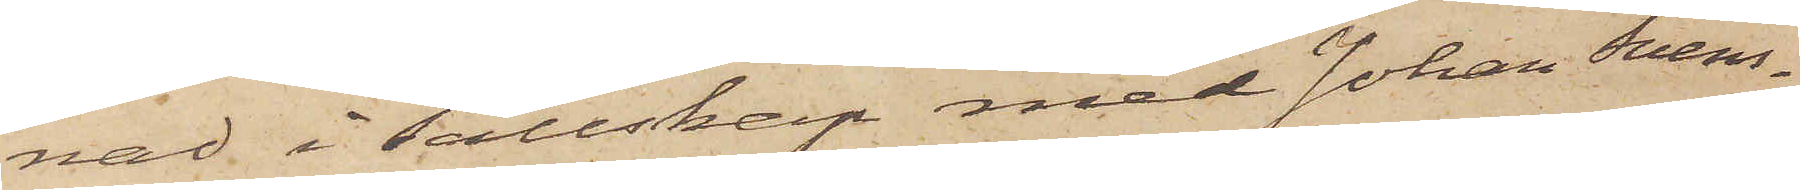nad i sällskap med Johan Svens¬
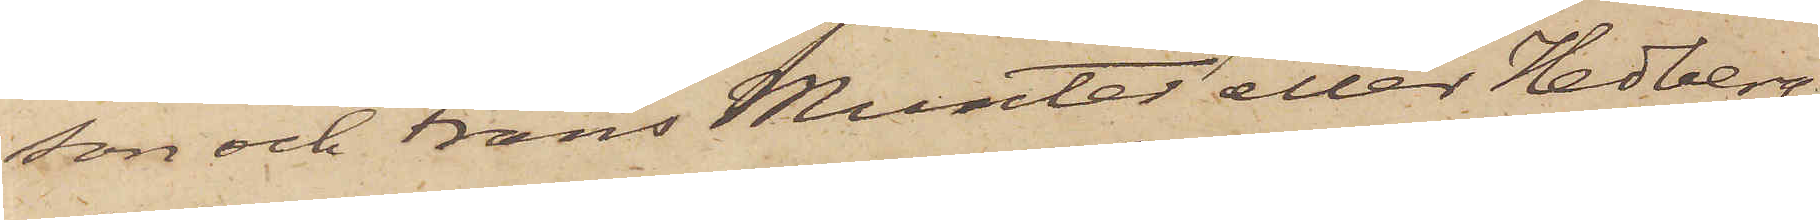son och Frans Munter eller Hedberg,
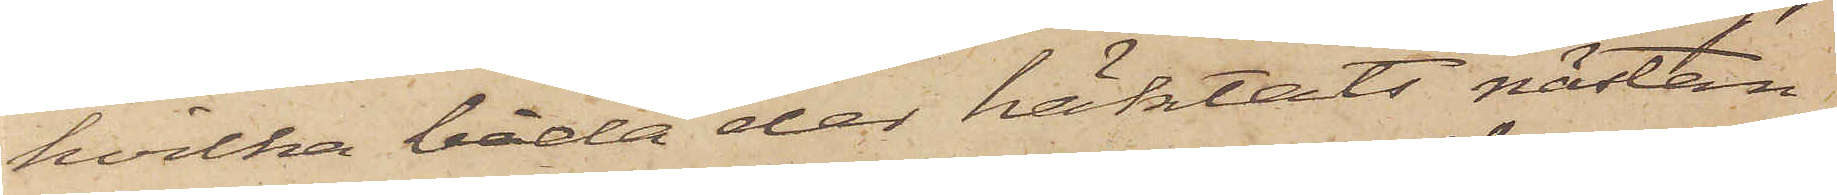hvilka båda der häktats nästan
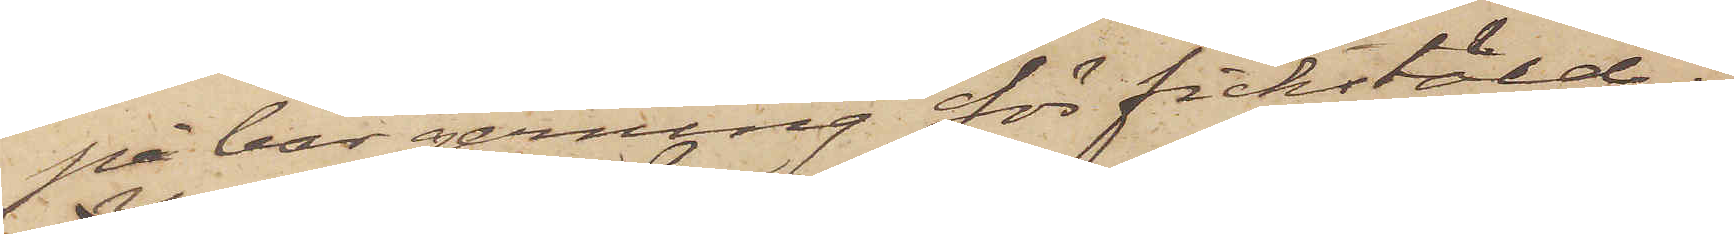på bar gerning för fickstöld.
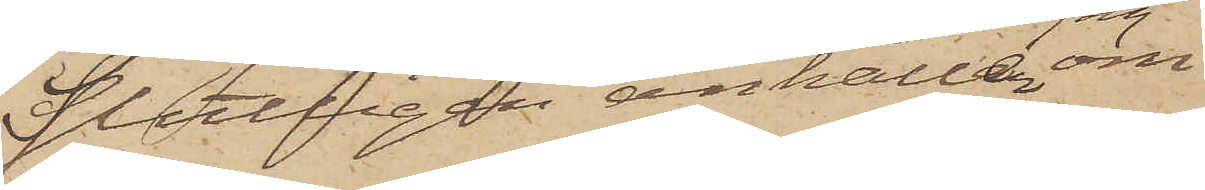Slutligen anhåller jag om
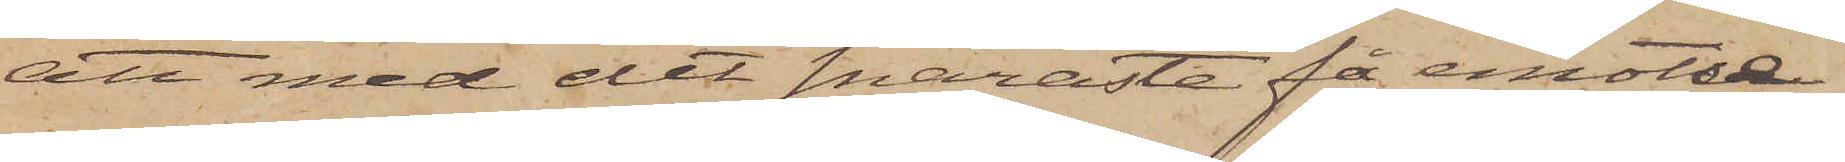att med det snaraste få emotse
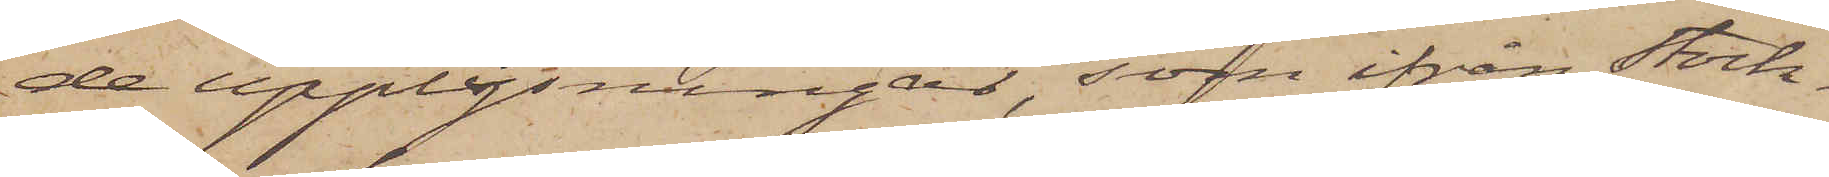de upplysningar, som ifrån Stock¬
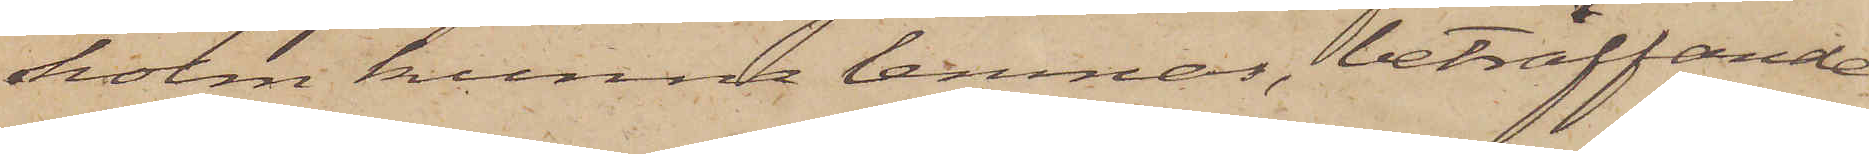holm kunna lemnas, beträffande
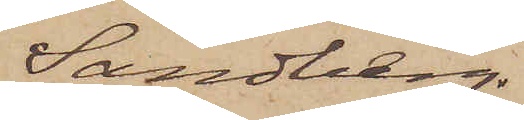Sandberg.
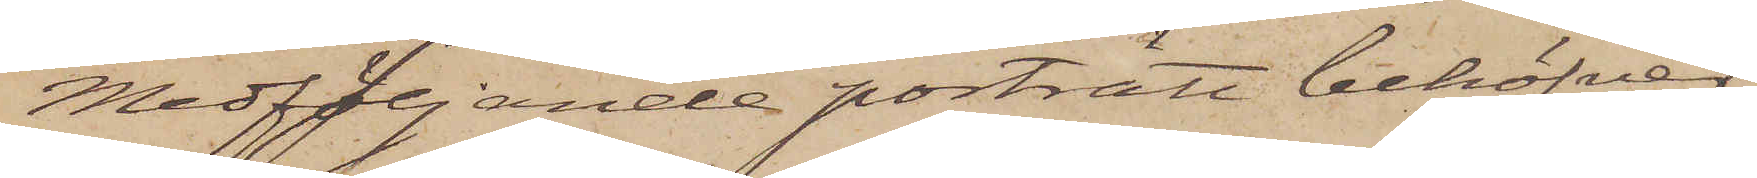Medföljande porträtt behöfver
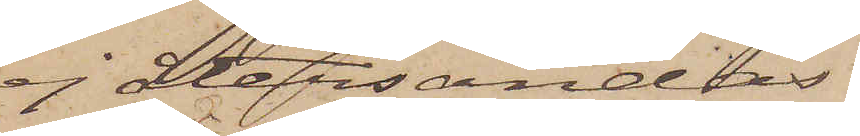ej återsändas.
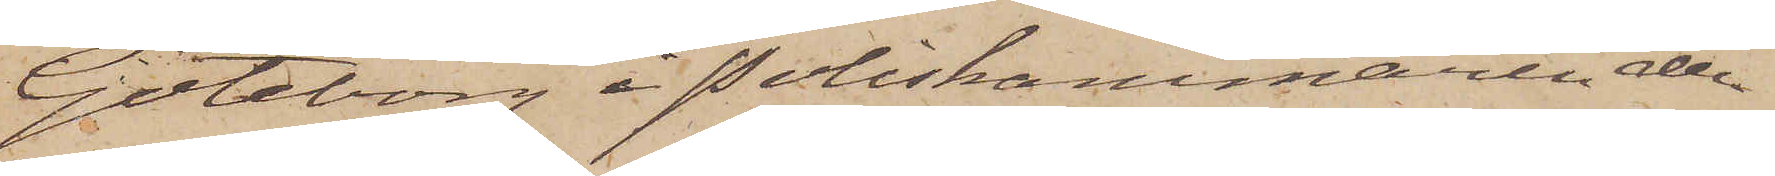Göteborg å Poliskammaren den
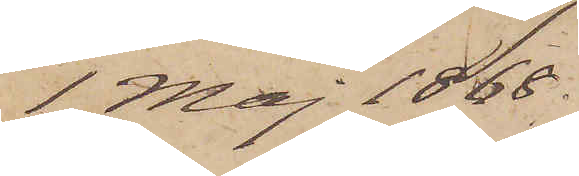1 Maj 1868.
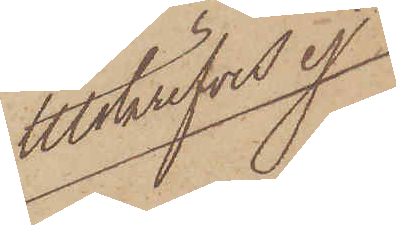Utskrifves ej
